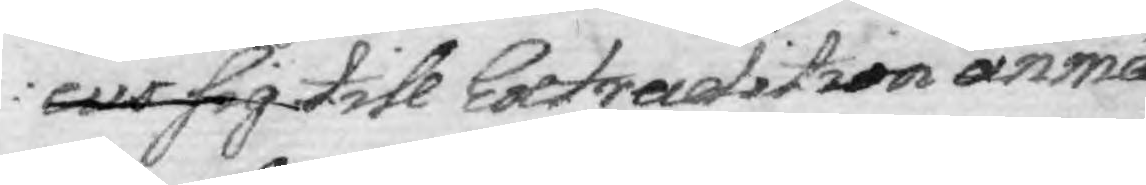cus sig till Extradition anmä¬
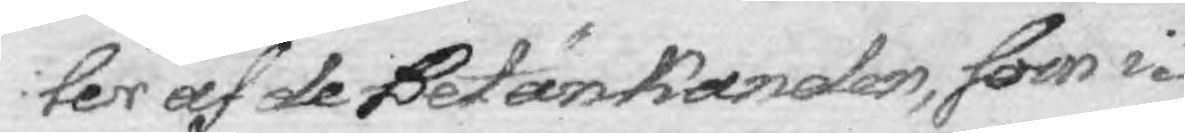ler af de Betänkanden, som i¬
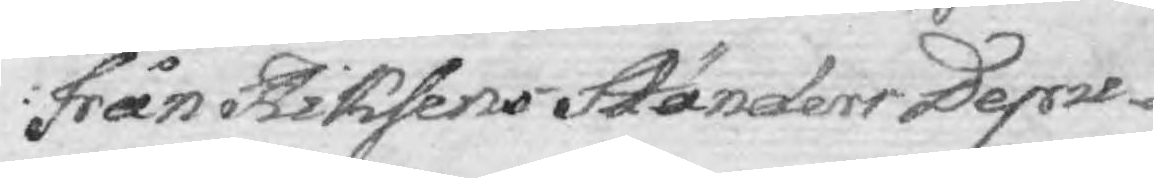från Riksens Ständers Depu¬
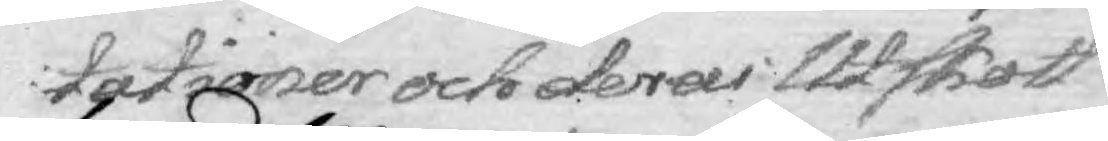tationer och deras Utskott
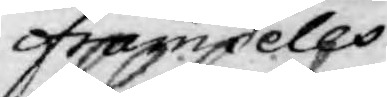framdeles
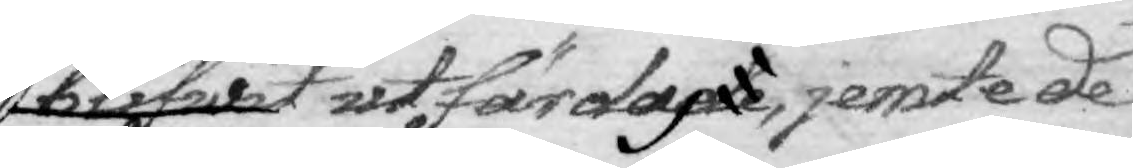blifwit utfärdades, jemste de
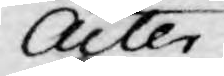Acter
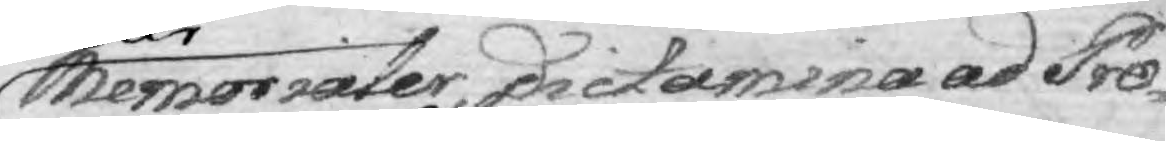Memorialer, Dictamina ad Pro¬
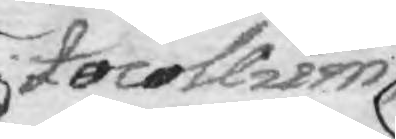tocollium
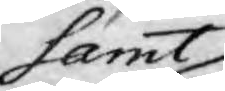samt
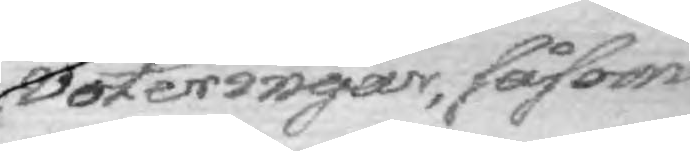voteringar, såsom
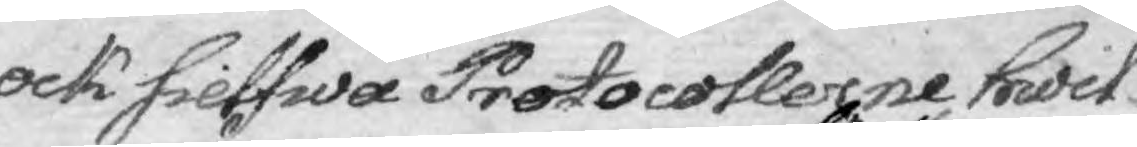ock sielfwa Protocollerne hwil¬
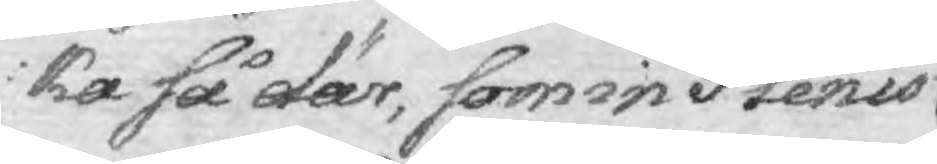ka så där, som in Plenis
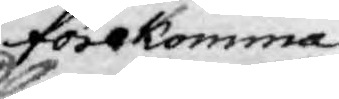förekomma
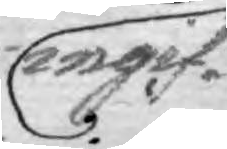ingif¬
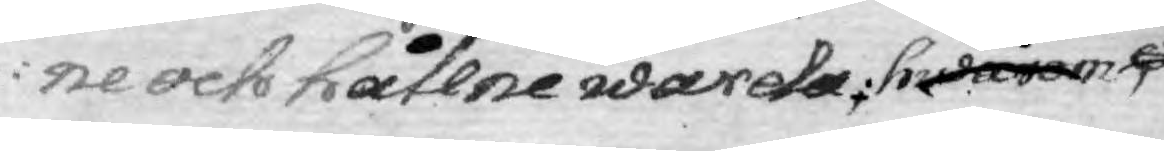ne och hållne warda. hwarom
